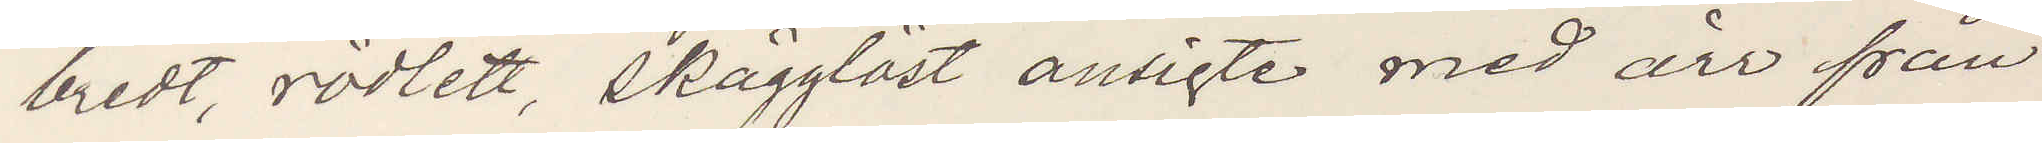bredt, rödlett, skägglöst ansigte med ärr från
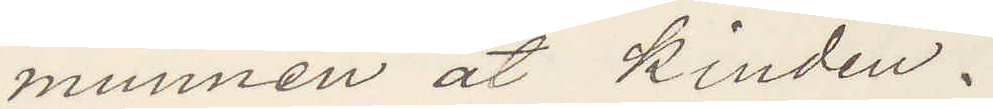munnen åt kinden.
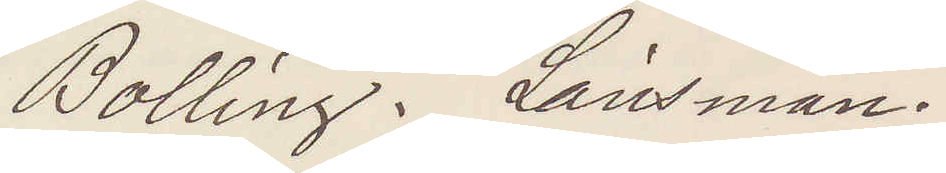Bolling. Länsman.
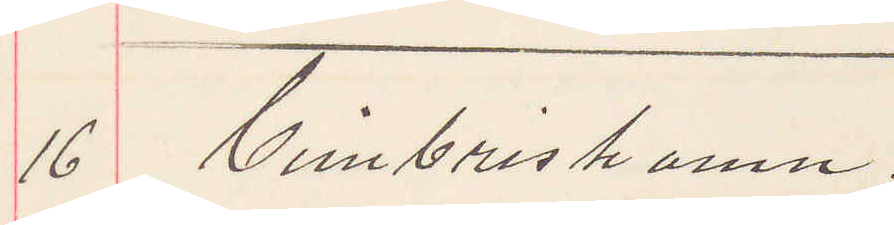16 Cimbrishamn.
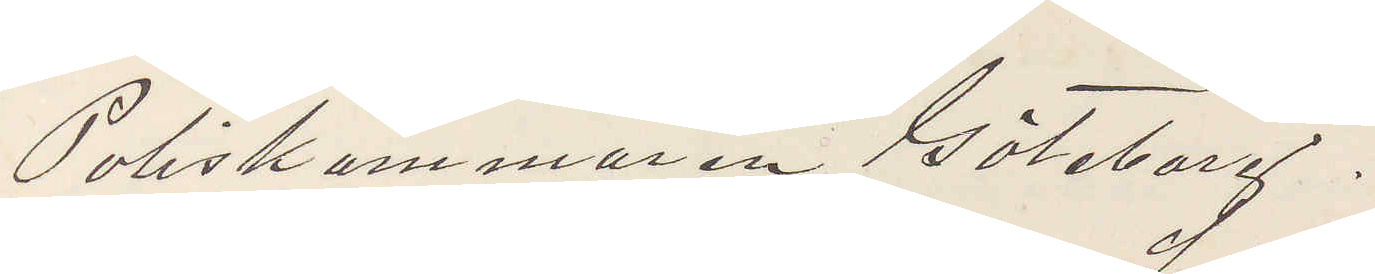Poliskammaren Göteborg.
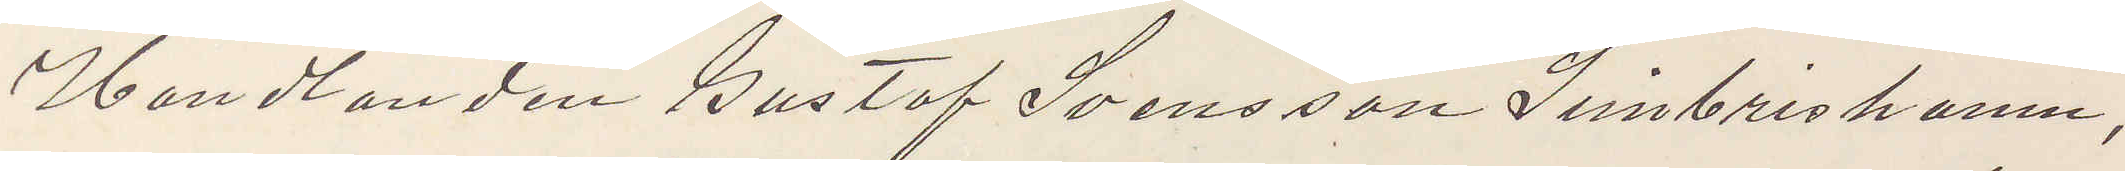Handlanden Gustaf Svensson Simbrishamn,
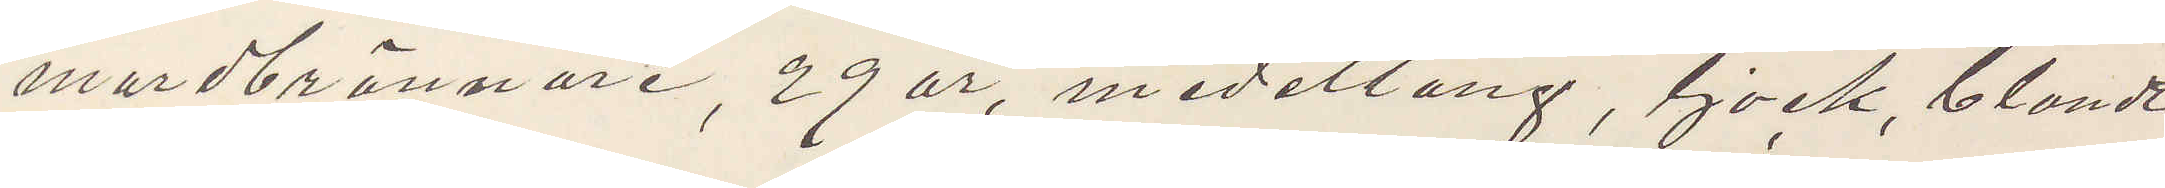mordbrännare, 29 år, medellång, tjock, blondt
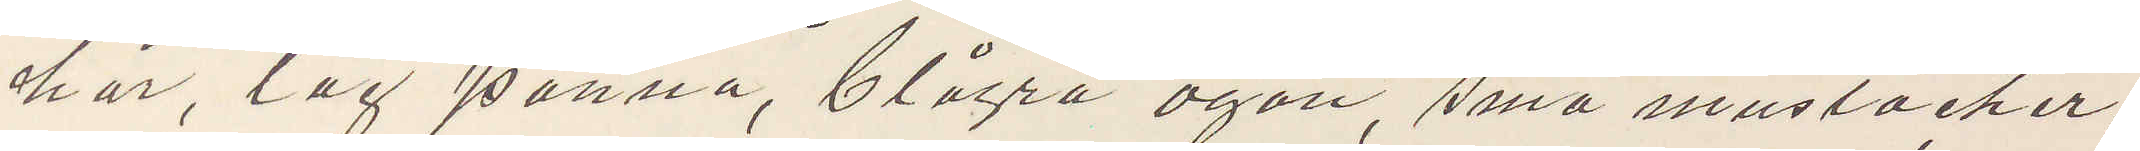hår, låg panna, blågrå ögon, små mustacher,
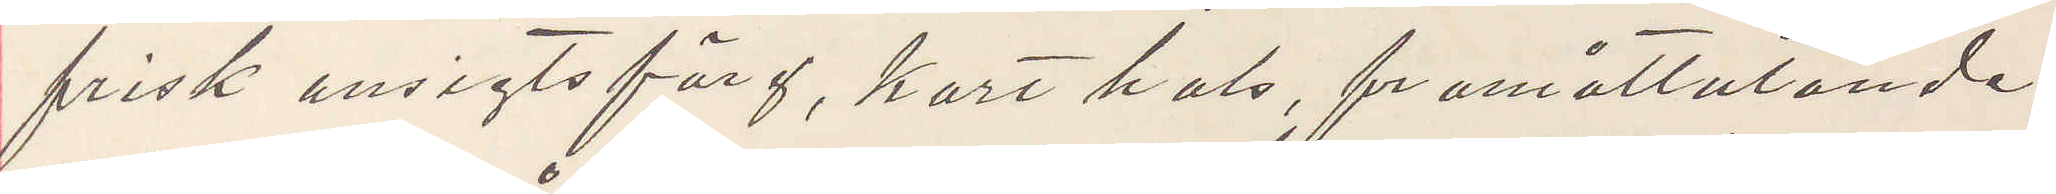frisk ansigtsfärg, kort hals, framåtlutande,
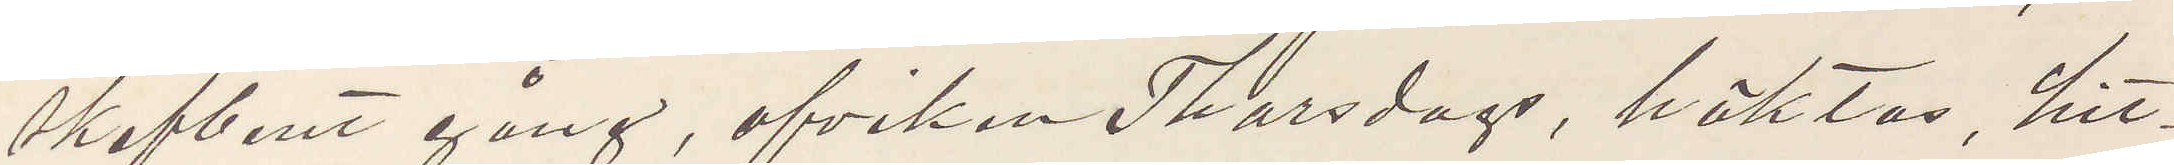skefbent gång, afviken Thorsdags, häktas, hit¬
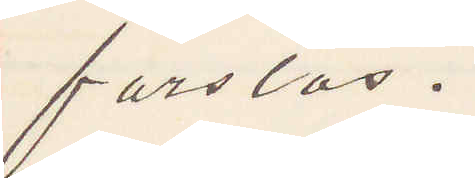forslas.
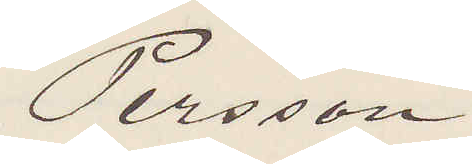Persson
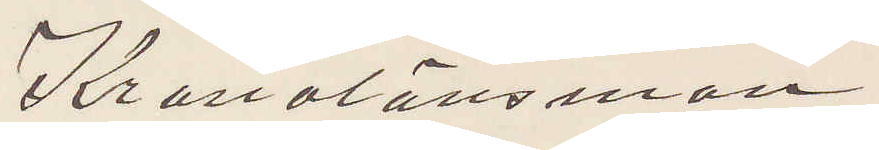Kronolänsman
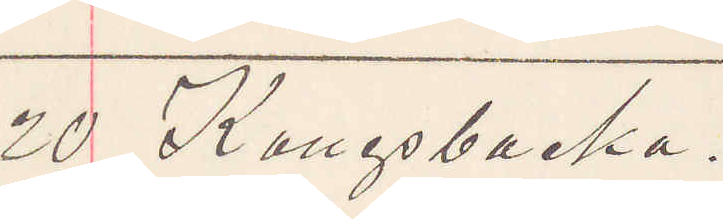20 Kungsbacka.
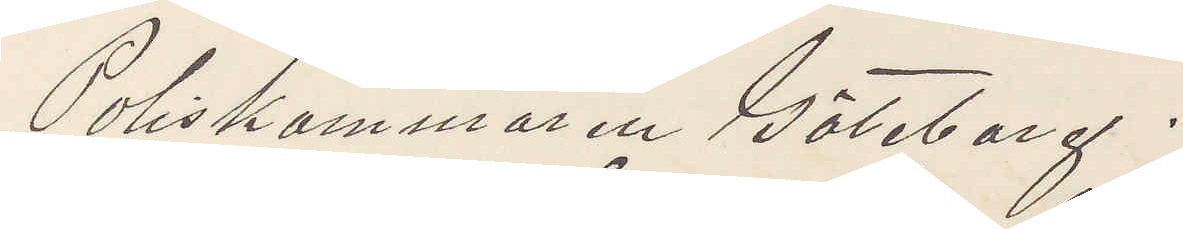Poliskammaren Göteborg.
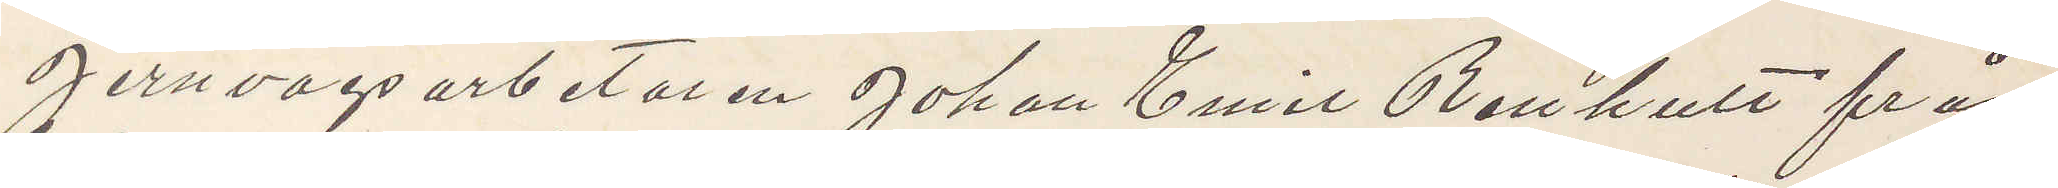Jernvägsarbetaren Johan Emil Renhult från
